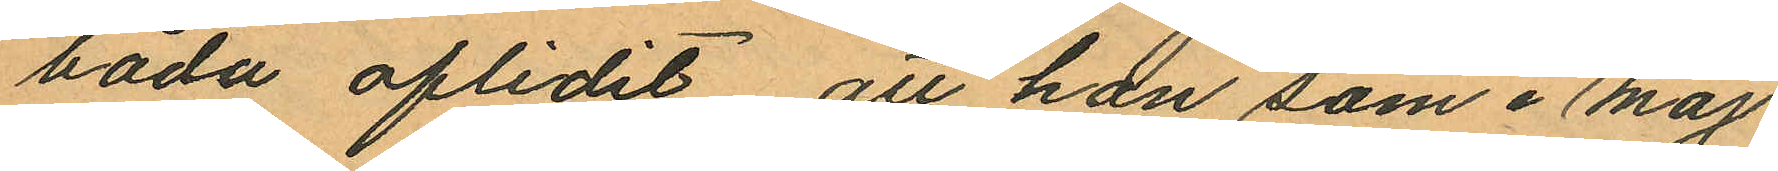båda aflidit att hon som i Maj
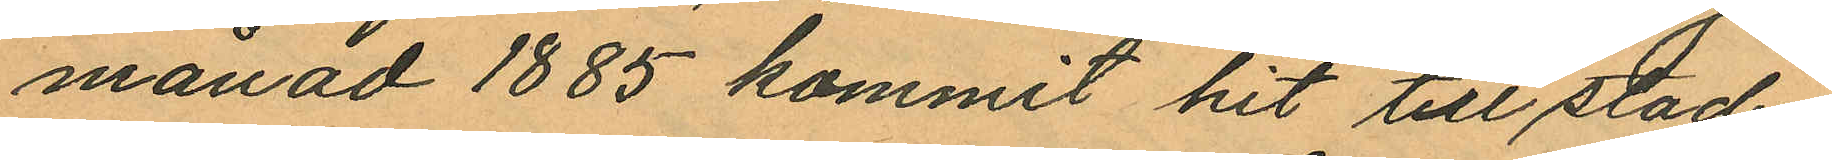månad 1885 kommit hit till staden
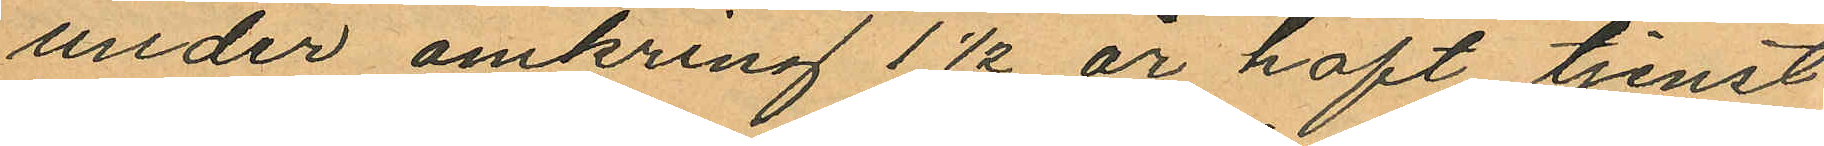under omkring 1½ år haft tjenst
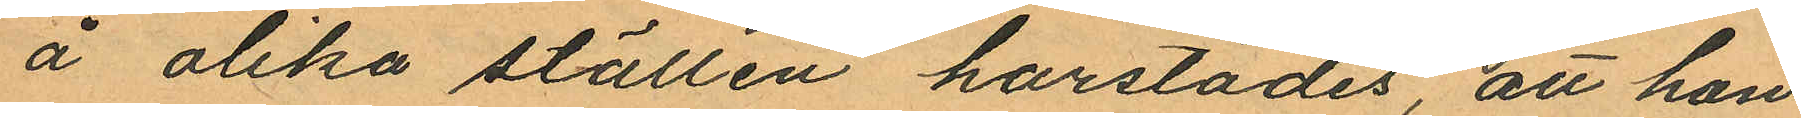å olika ställen härstädes, att hon
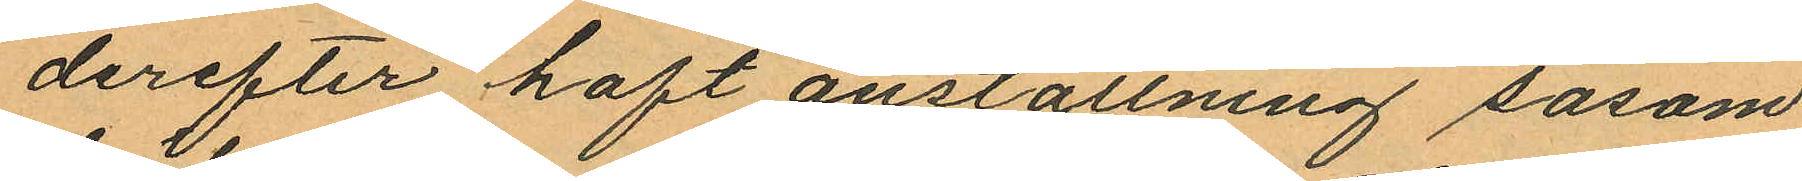derefter haft anställning såsom
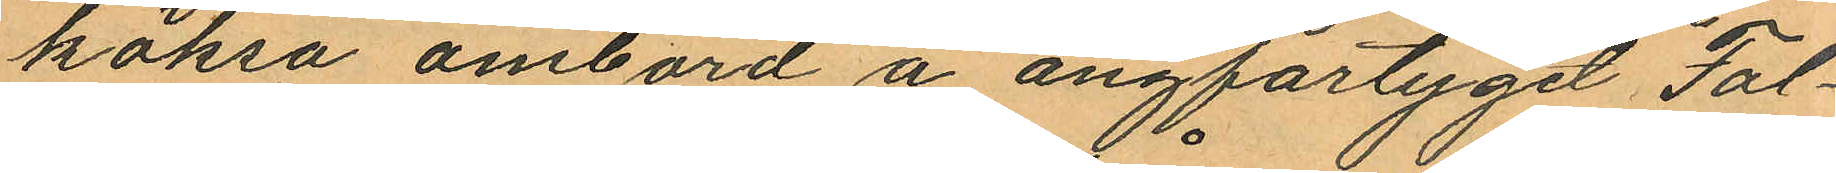köksa ombord å ångfartyget "Fal¬
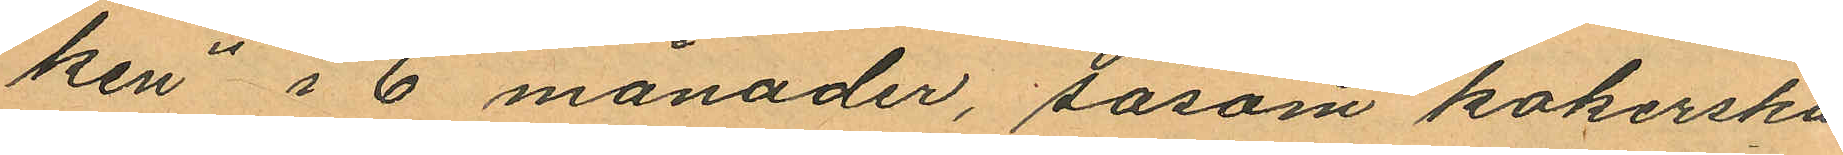ken" i 6 månader, såsom kokerska
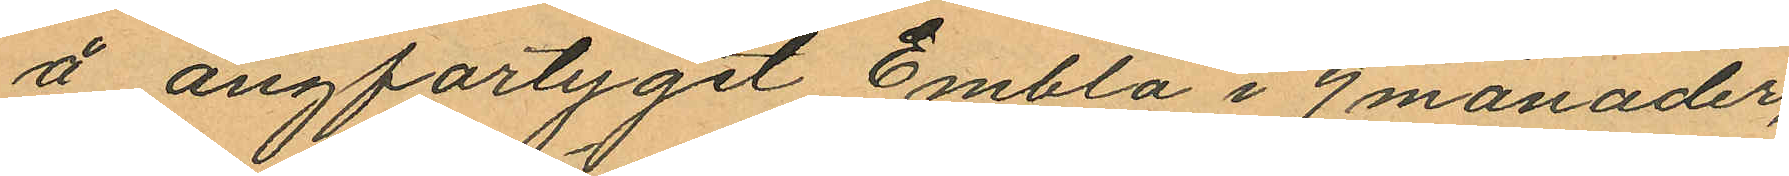å ångfartyget Embla i 9 månader,
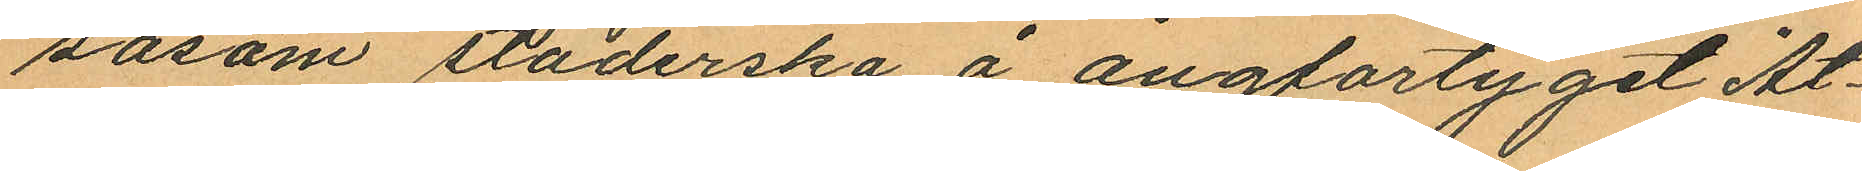såsom städerska å ångfartyget "At¬
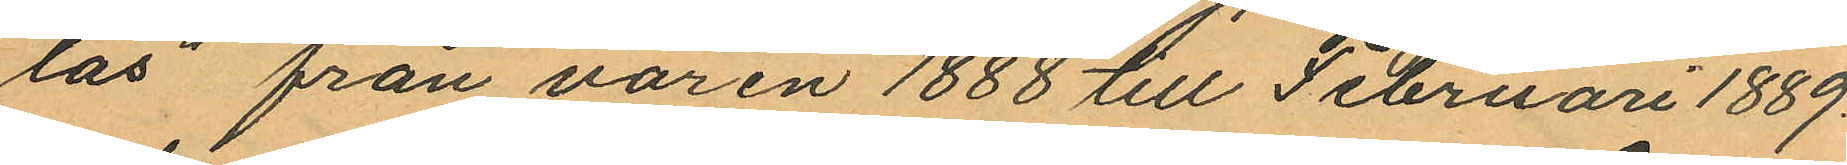las" från våren 1888 till Februari 1889
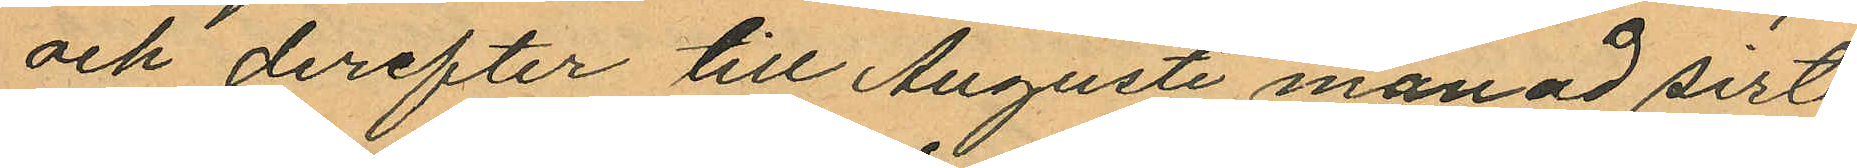och derefter till Augusti månad sist.
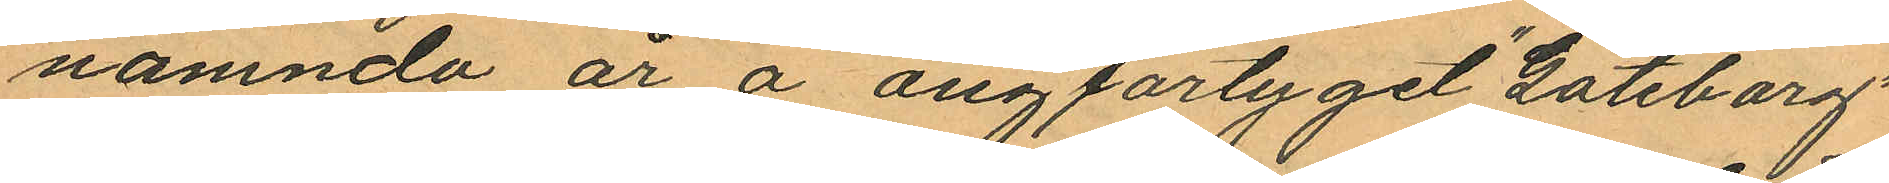nämnda år å ångfartyget "Göteborg"
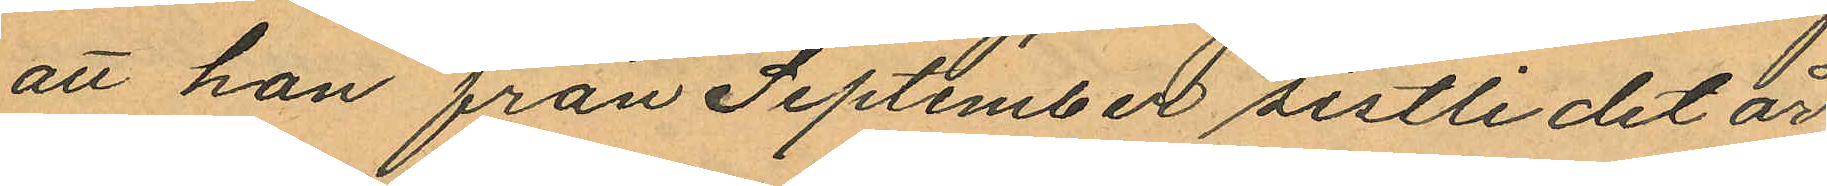att hon från September sistlidet år
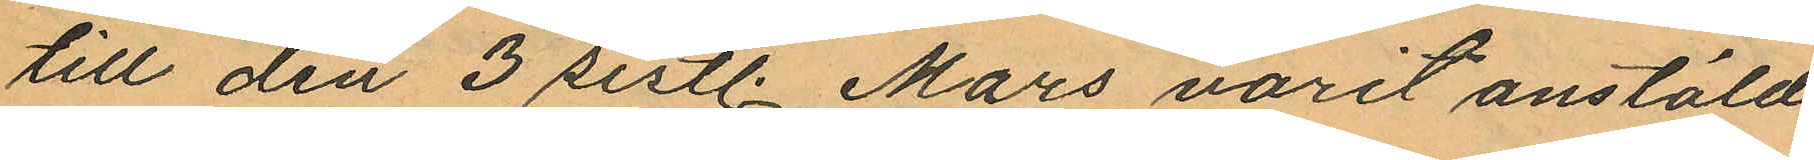till den 3 sistl. Mars varit anstäld
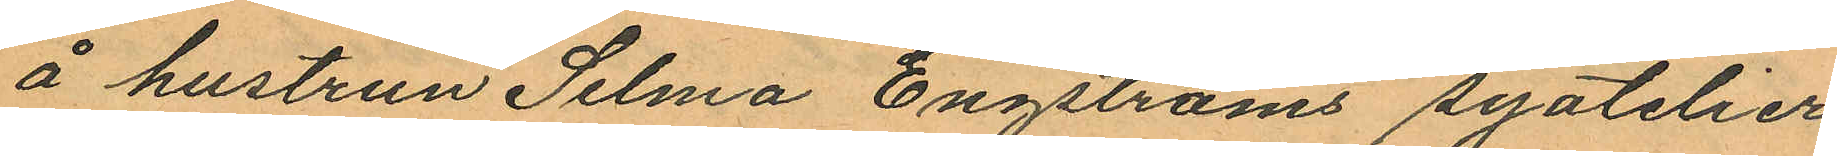å hustrun Selma Engströms syatelier
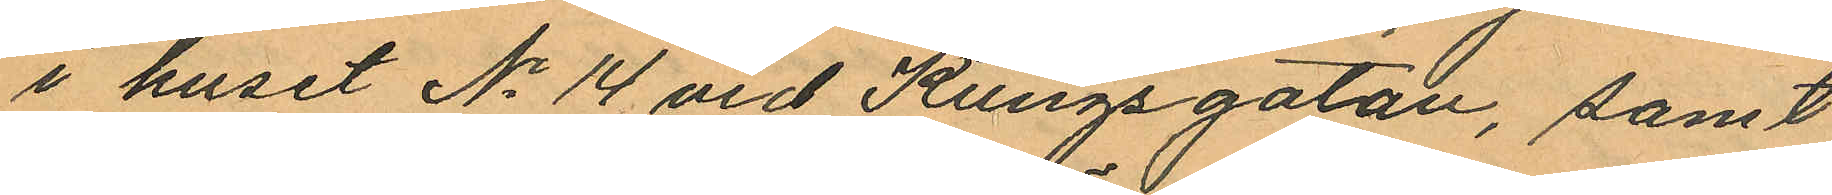i huset No 14 vid Kungsgatan, samt
